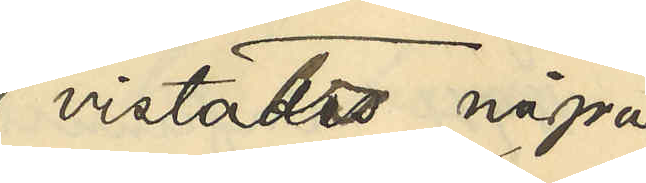vistats några
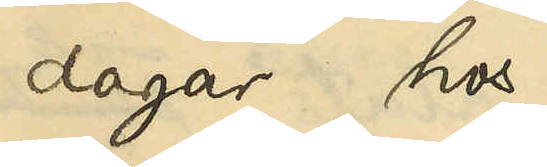dagar hos
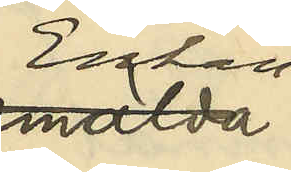Enkan
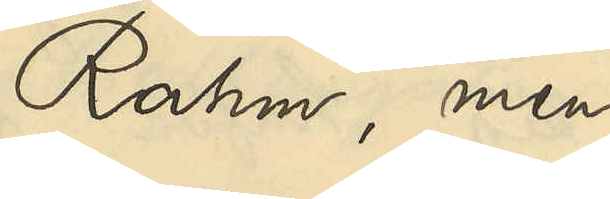Rahm, men
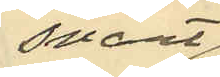snart
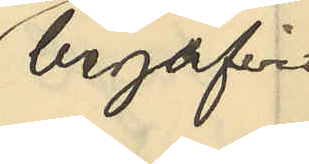begifvit
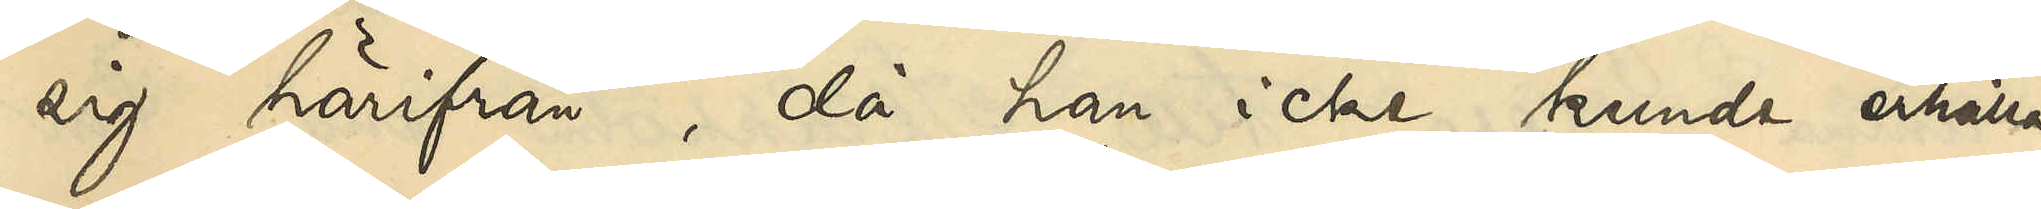sig härifrån, då han icke kunde erhålla
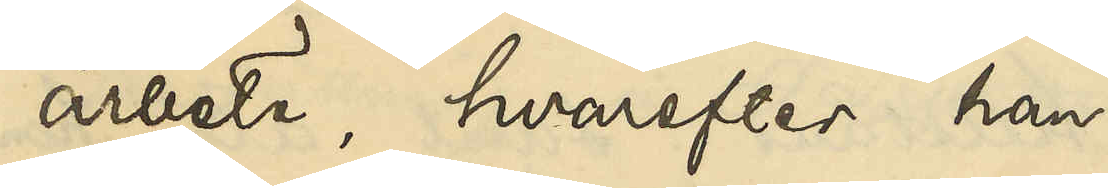arbete, hvarefter han
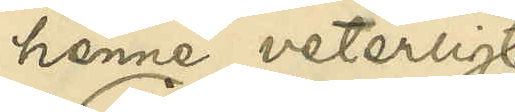henne veterligt
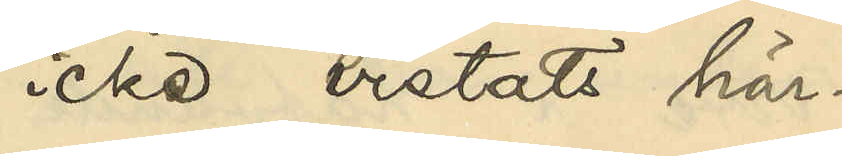icke vistats här¬
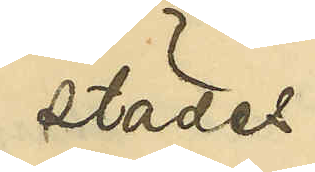städes.
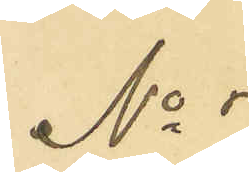No 7
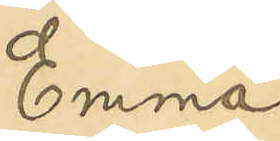Emma
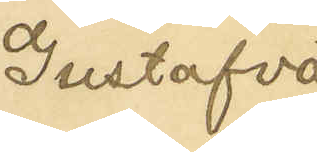Gustafva
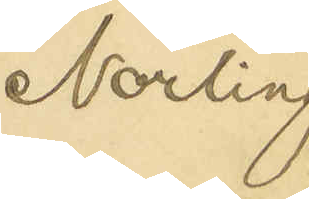Norling
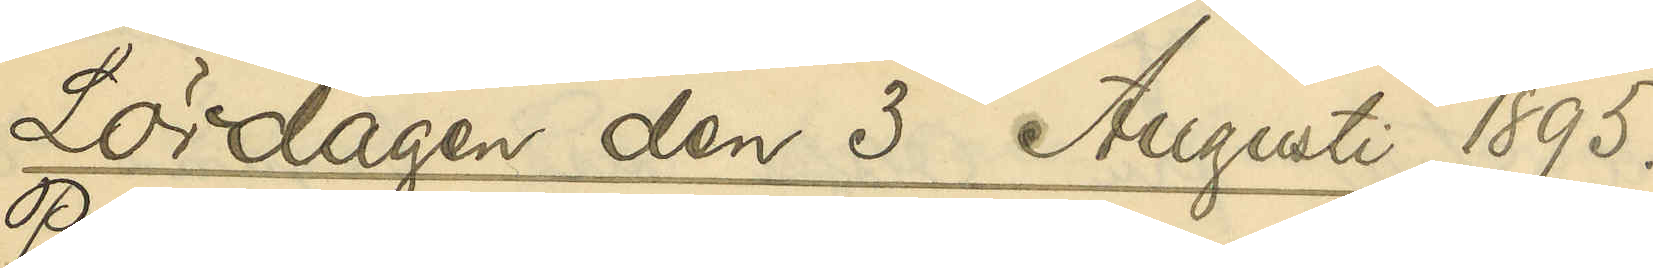Lördagen den 3 Augusti 1895.
